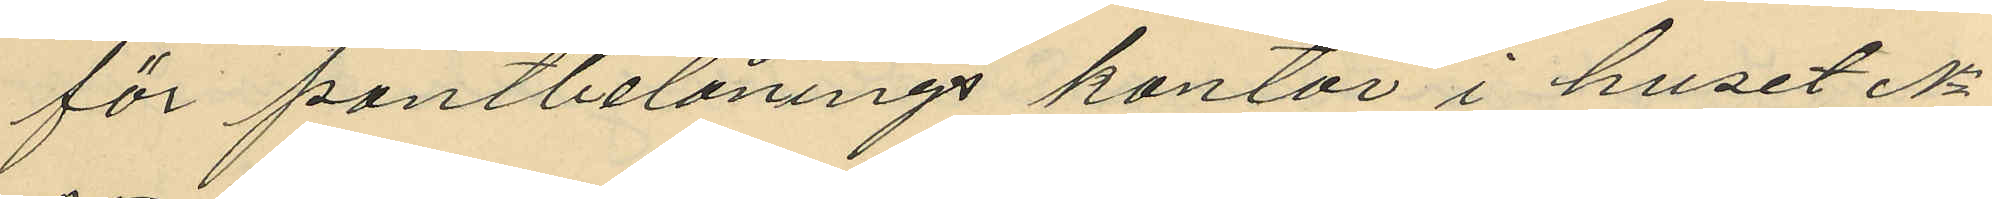för pantbelånings kontor i huset No
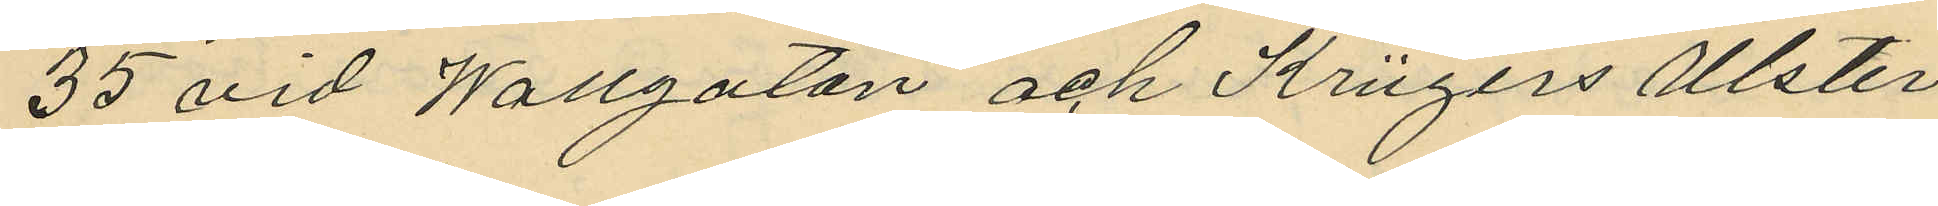35 vid Wallgatan och Kingers Ulster
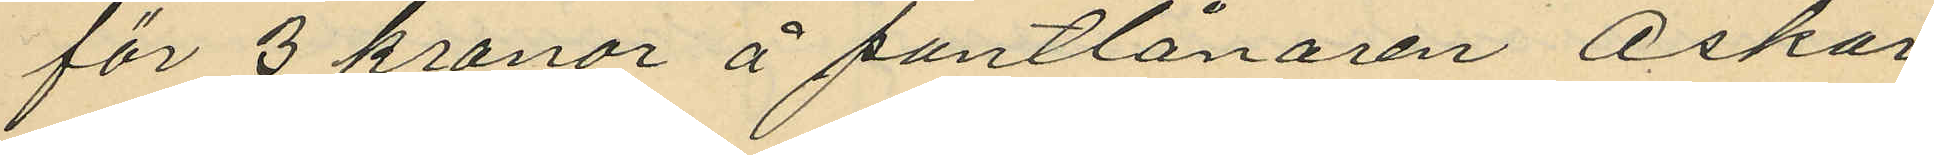för 3 kronor å pantlånaren Oskar
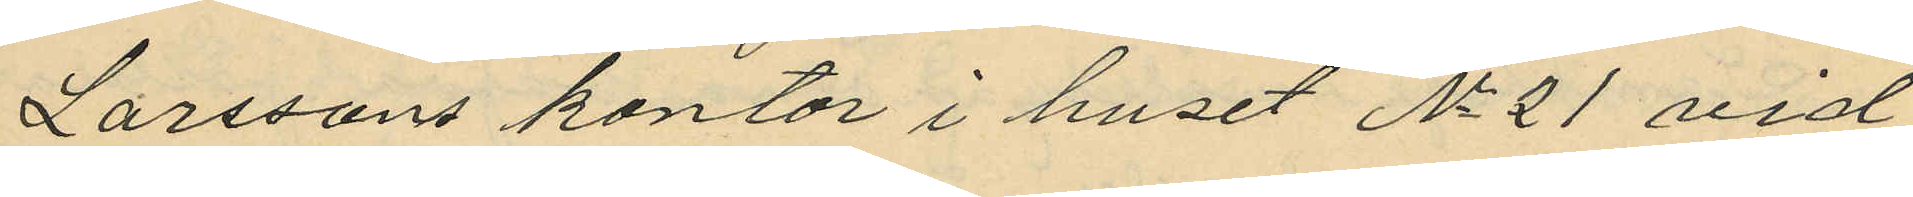Larssons kontor i huset No 21 vid
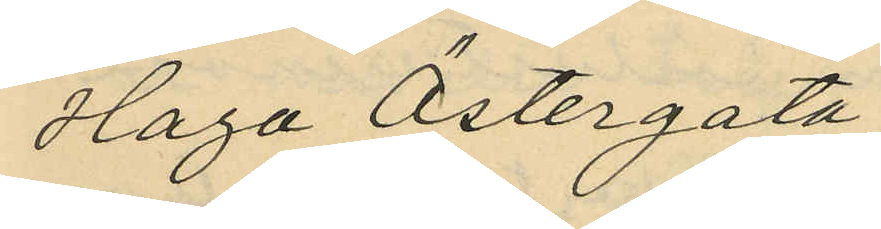Haga Östergata;
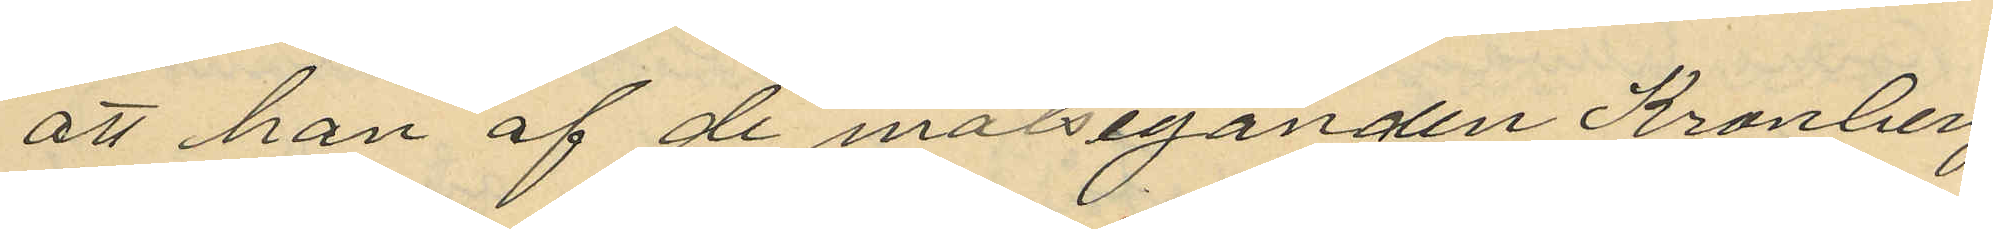att han af de målseganden Kronberg
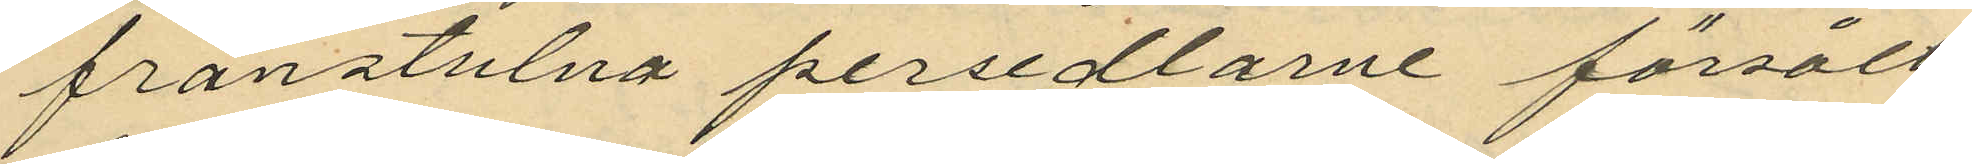frånstulna persedlarne försålt
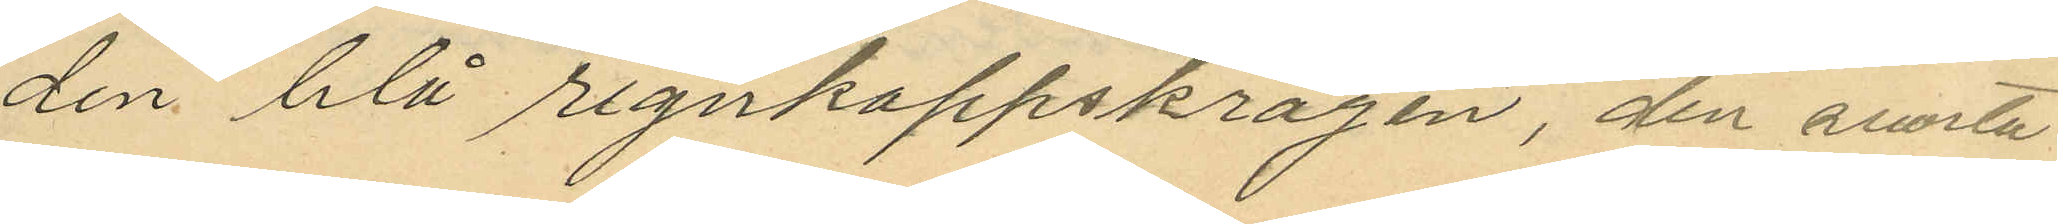den blå regnkappskragen, den svarta
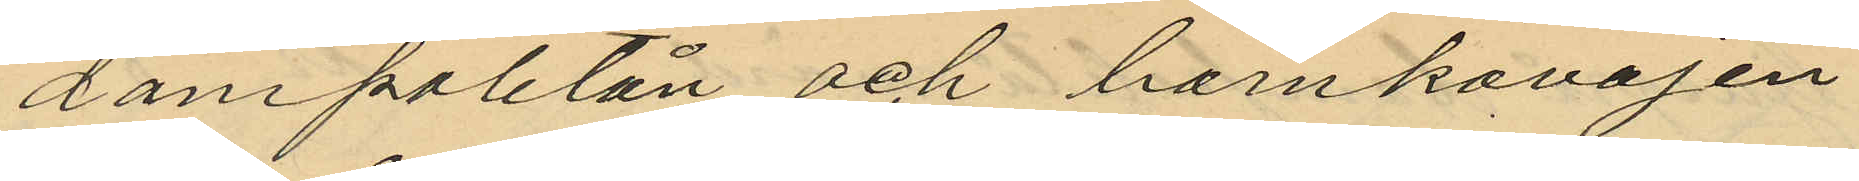dampaletån och barnkavajen
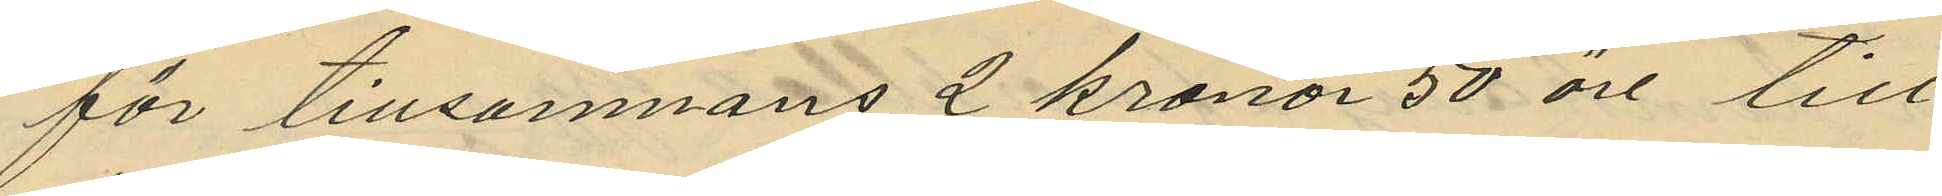för tillsammans 2 kronor 50 öre till
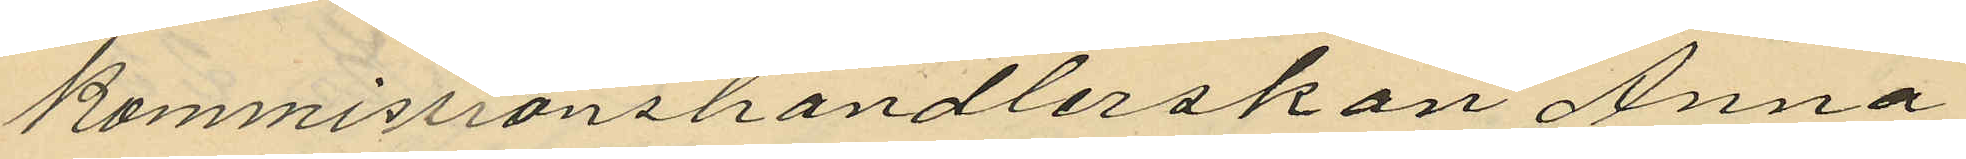Kommissionshandlerskan Anna
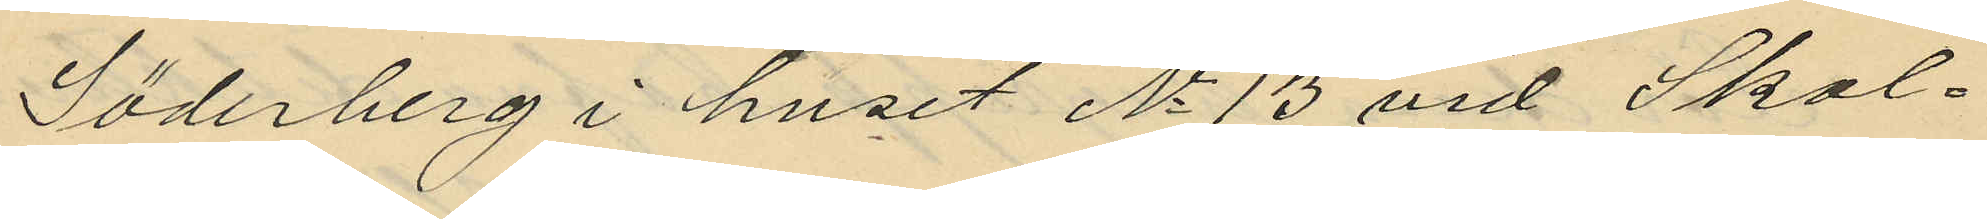Söderberg i huset No 13 vid Skol¬
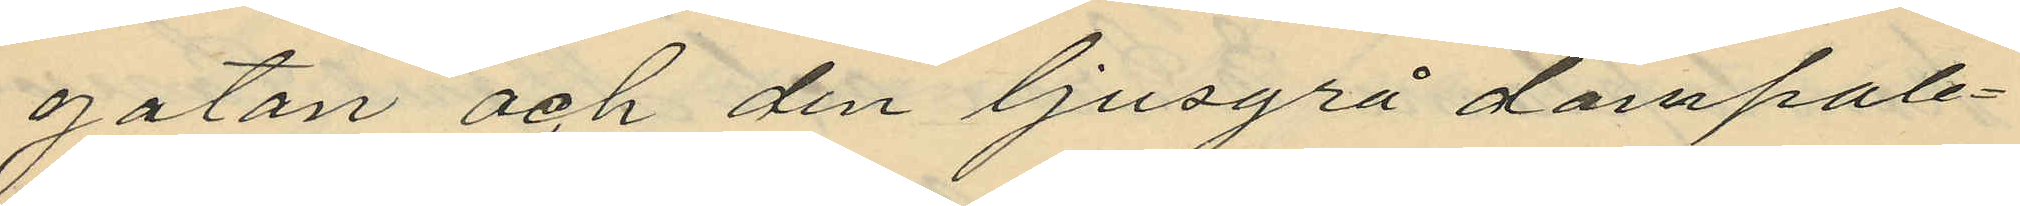gatan och den ljusgrå dampale¬
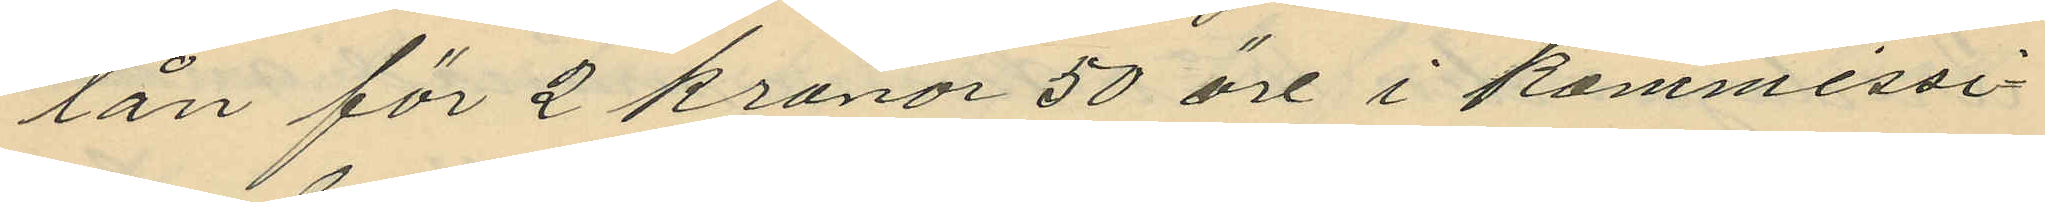tån för 2 kronor 50 öre i kommissi¬
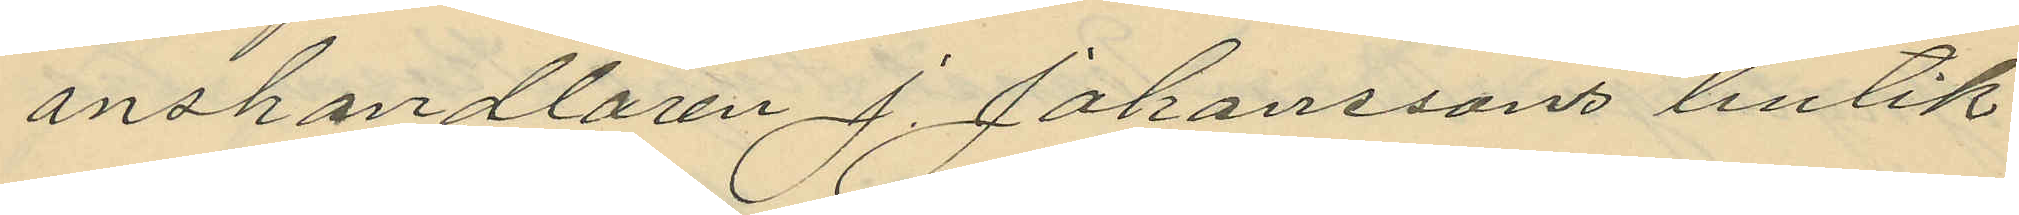onshandlaren J. Johanssons butik
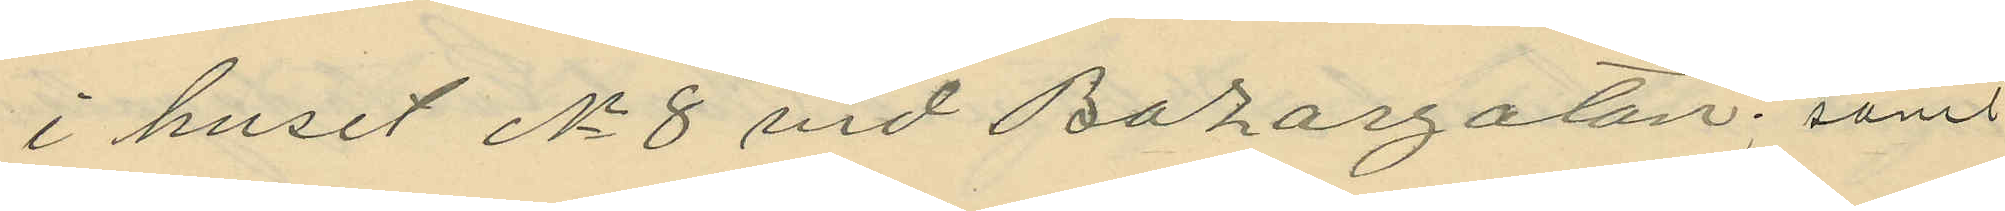i huset No 8 vid Bazargatan; samt
